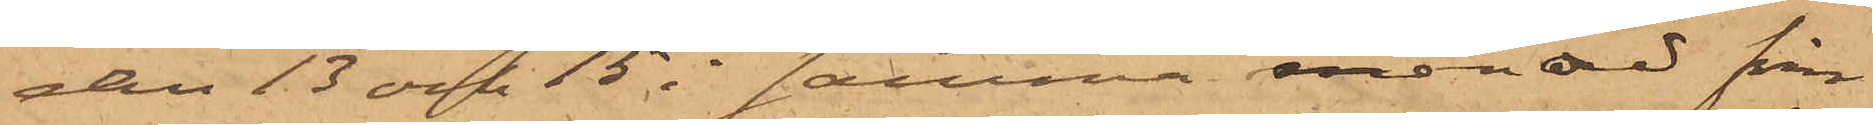den 13 och 15 i samma månad från
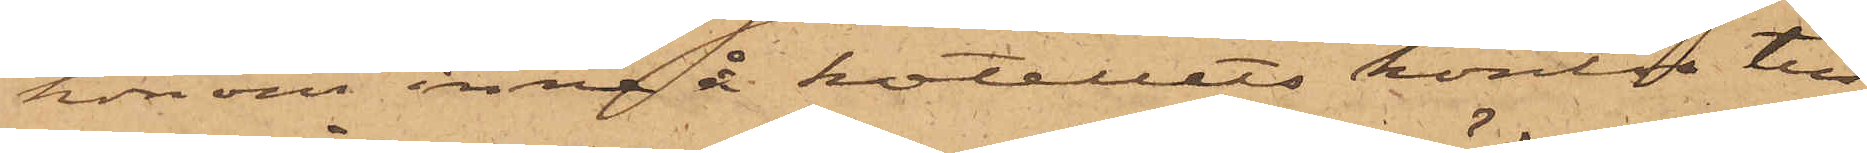honom inne å hotellets kontor till¬
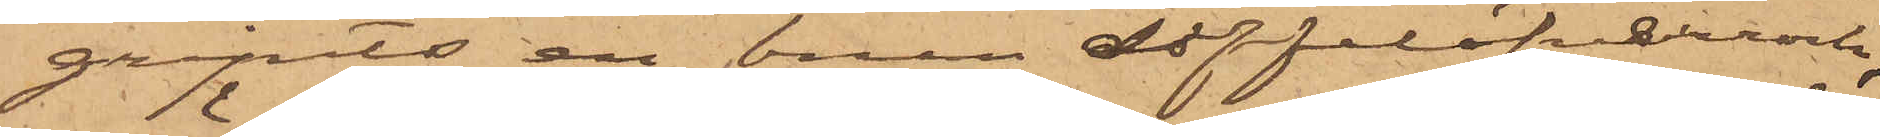gripits en brun doffelöfverrock,
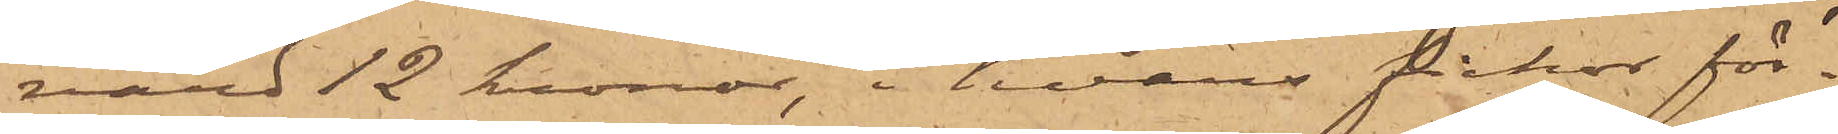värd 12 kronor, i hvars fickor för¬
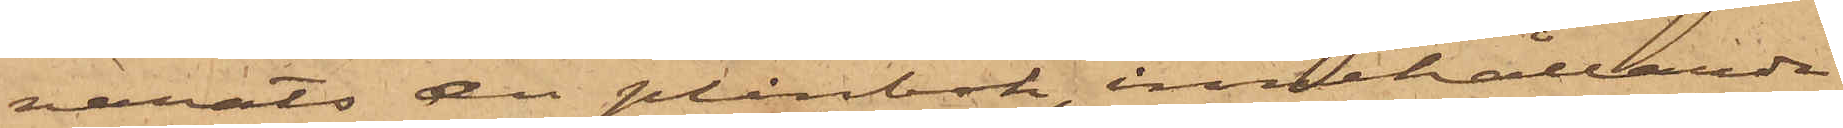varats en plånbok, innehållande
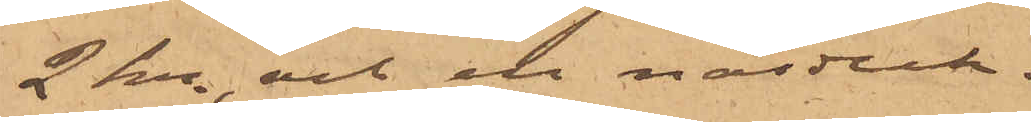2 kr., och en näsduk.
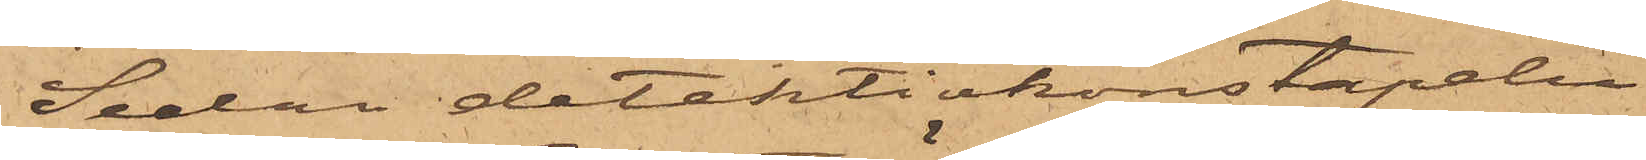Sedan detektivkonstapeln
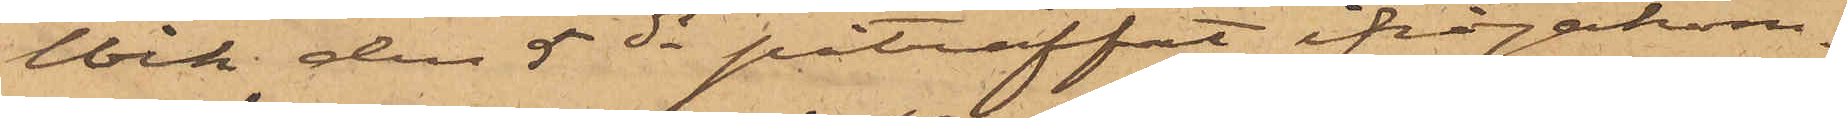Wik den 5 ds påträffat ifrågakom¬
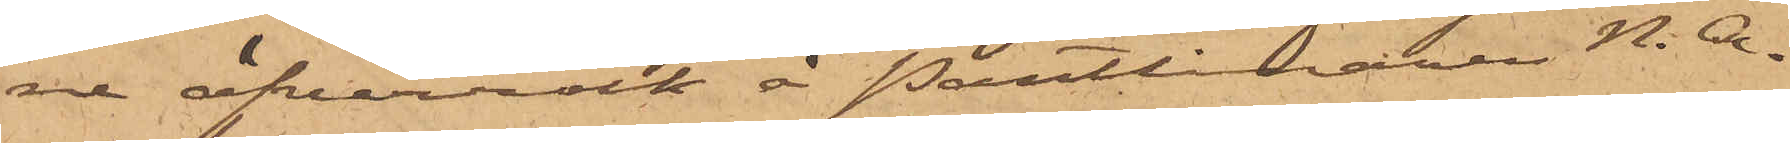ne öfverrock å Pantlånaren N. A.
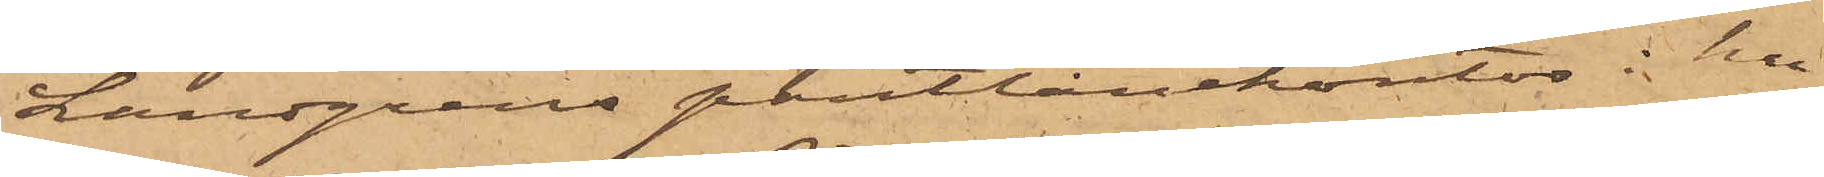Landgrens pantlånekontor i hu¬
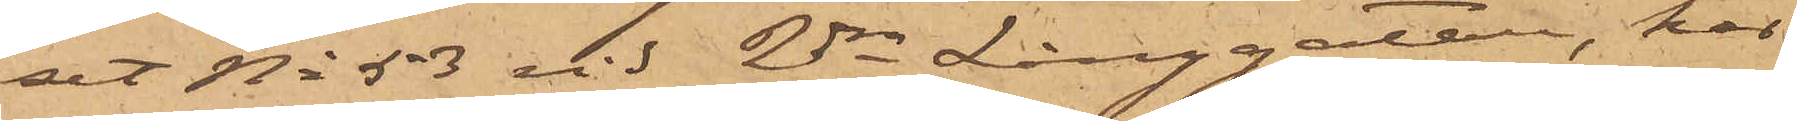set No 53 vid 2dra Långgatan, har
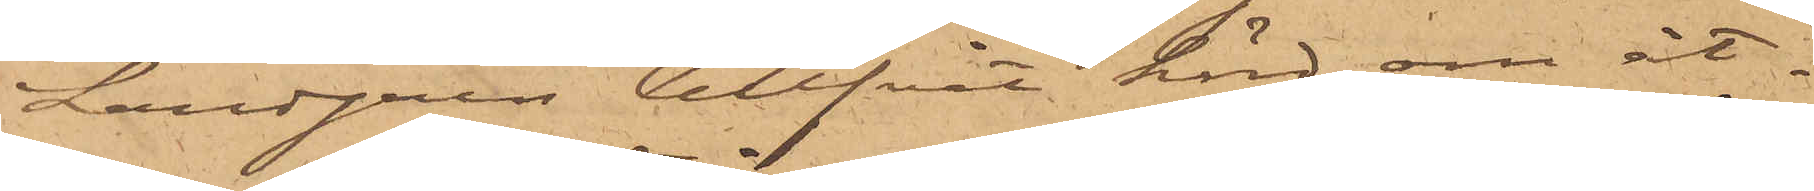Landgren blifvit hörd om åt¬
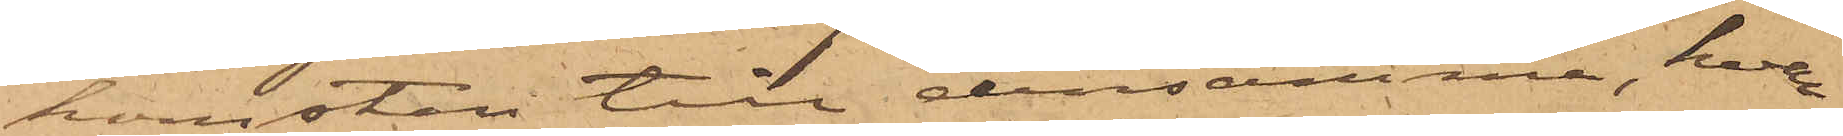komsten till densamma, hvar¬
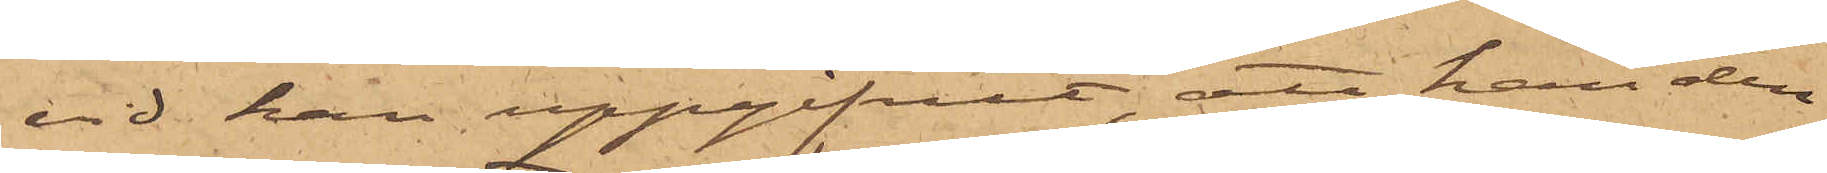vid han uppgifvit, att han den
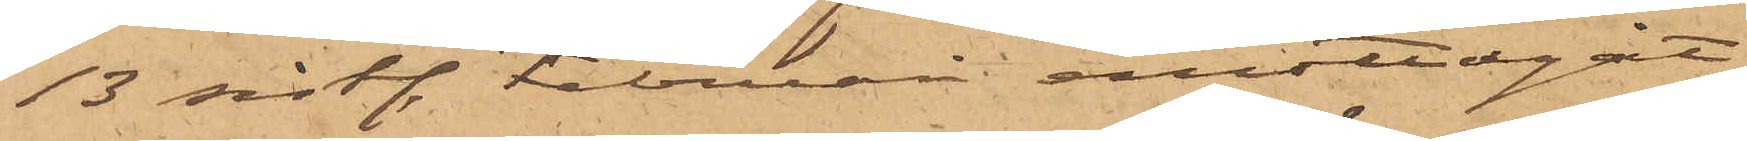13 sistl. Februari emottagit
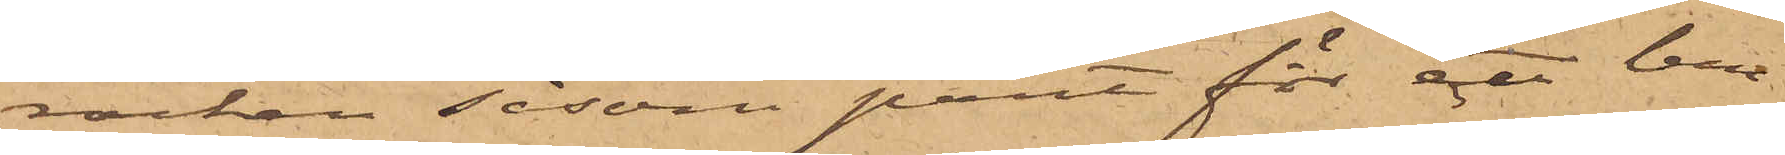rocken såsom pant för ett lem¬
